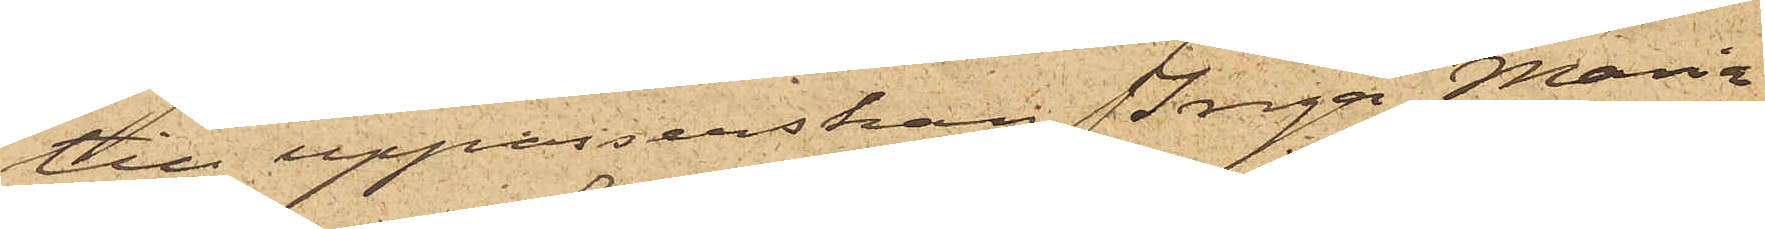till uppasserskan Inga Maria
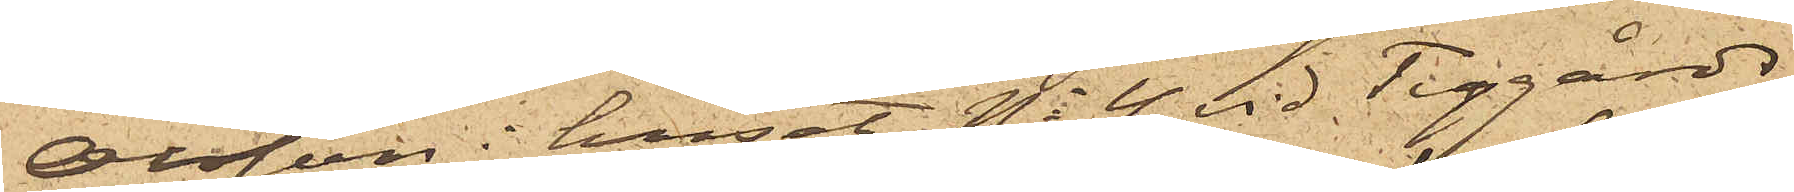Olsson i huset No 4 vid Tyggårds¬
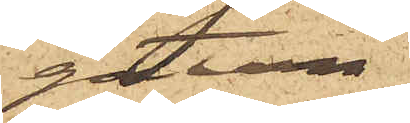gatan
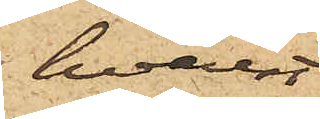hvarest
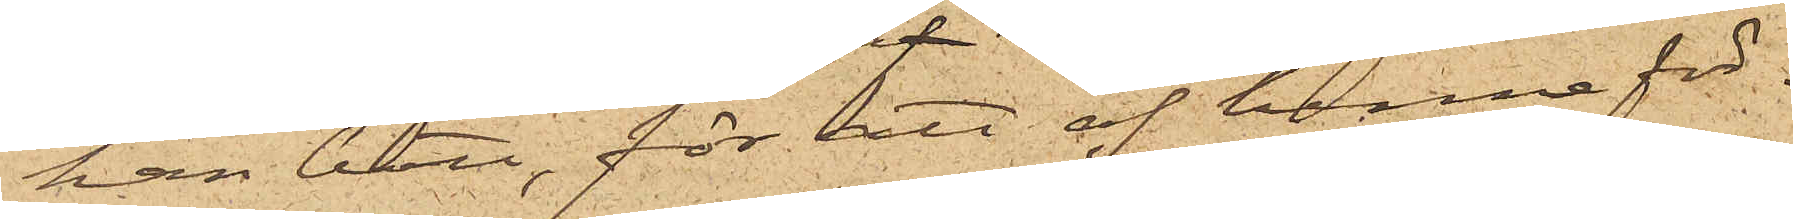han bott, för att af henne för¬
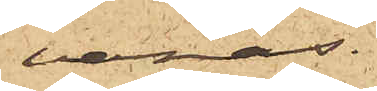varas.
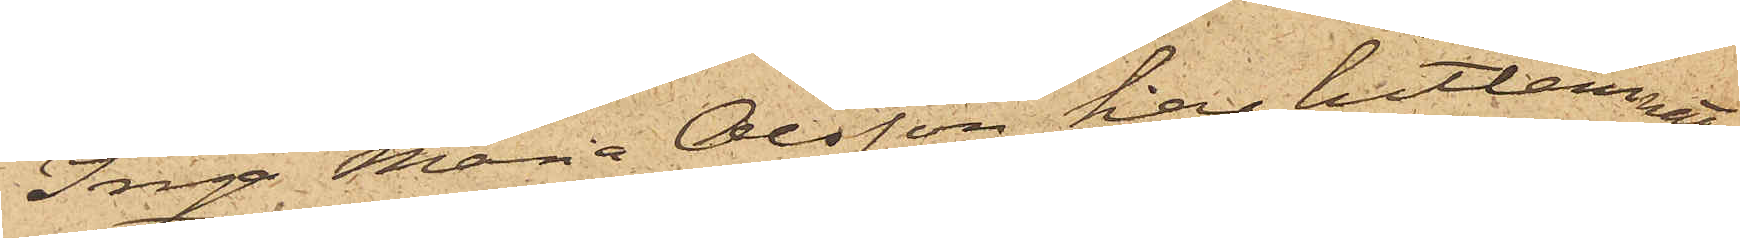Inga Maria Olsson har hitlemnat
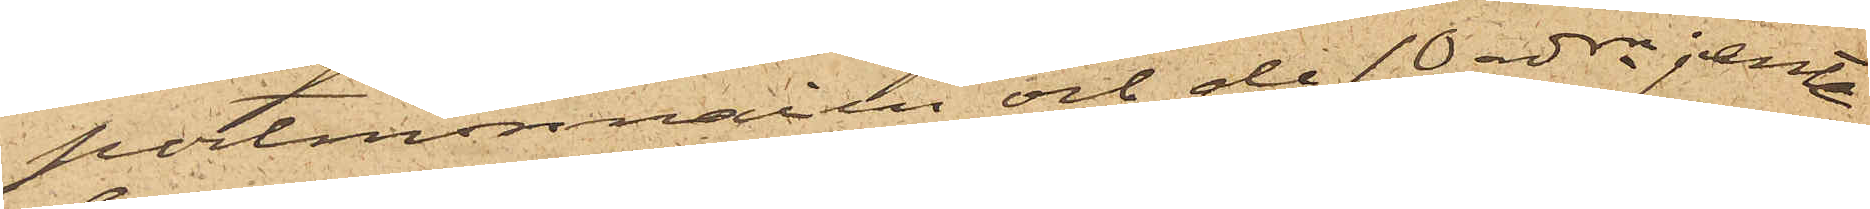portmonnaien och de 10 rdrne jemte
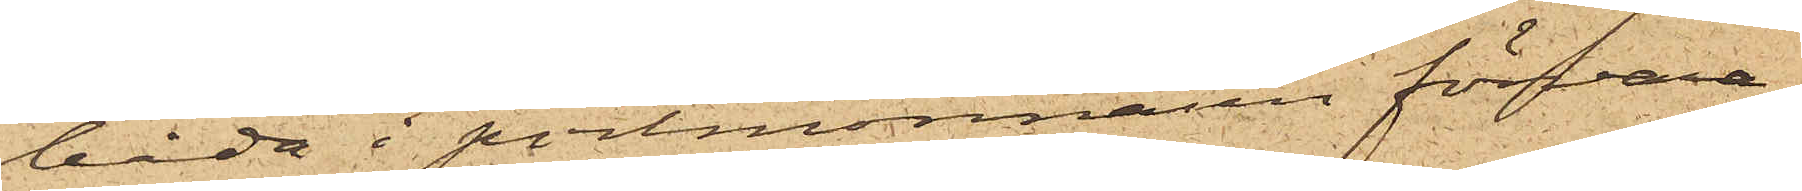båda i portmonnaien förvara¬
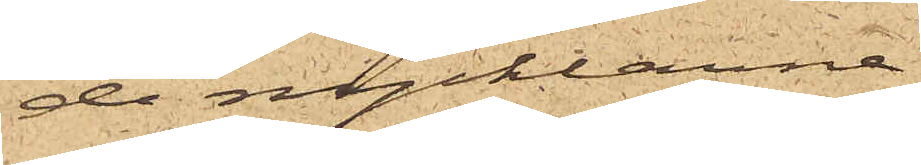de nycklarna.
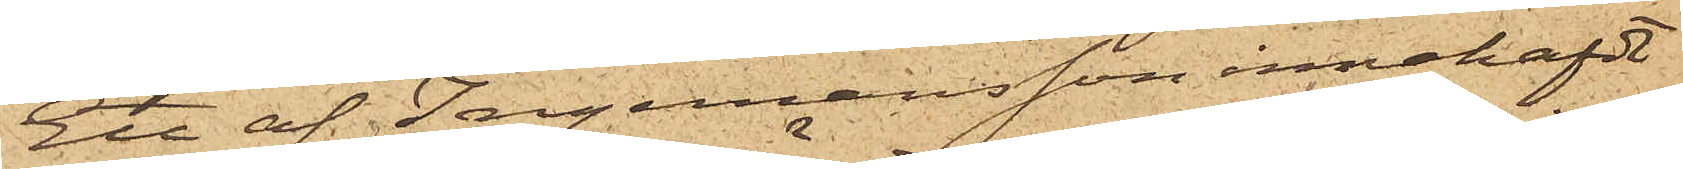Ett af Ingemansson innehafdt
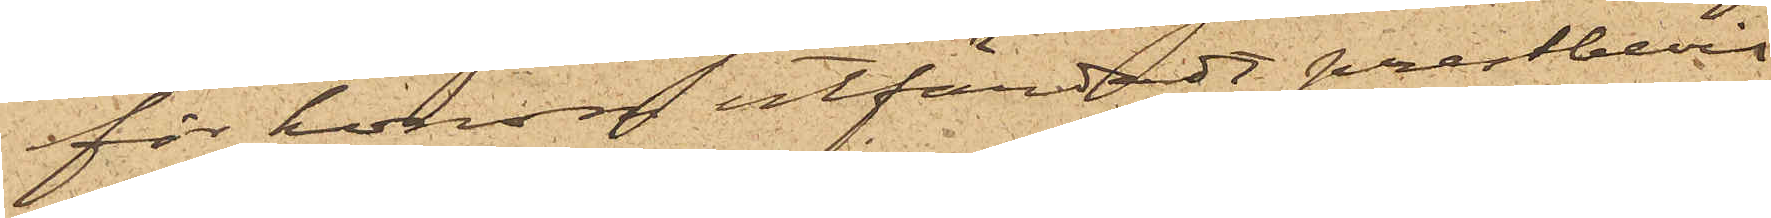för honom utfärdadt prestbevis
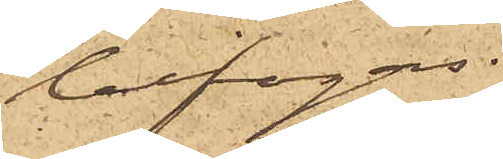bifogas.
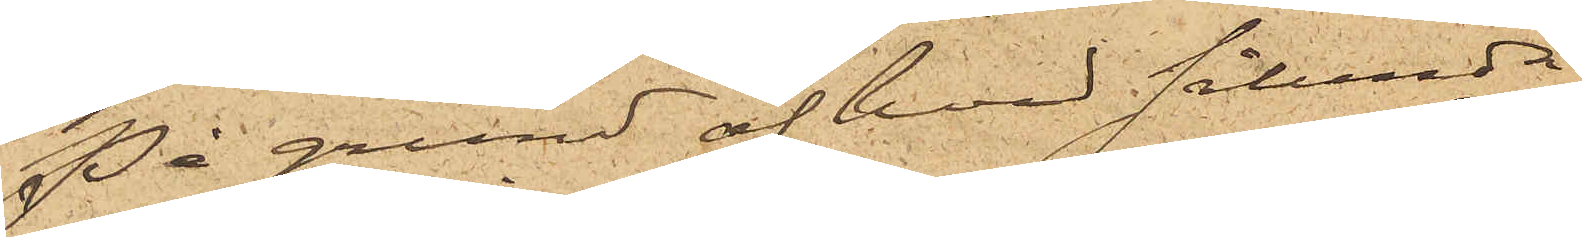På grund af hvad sålunda
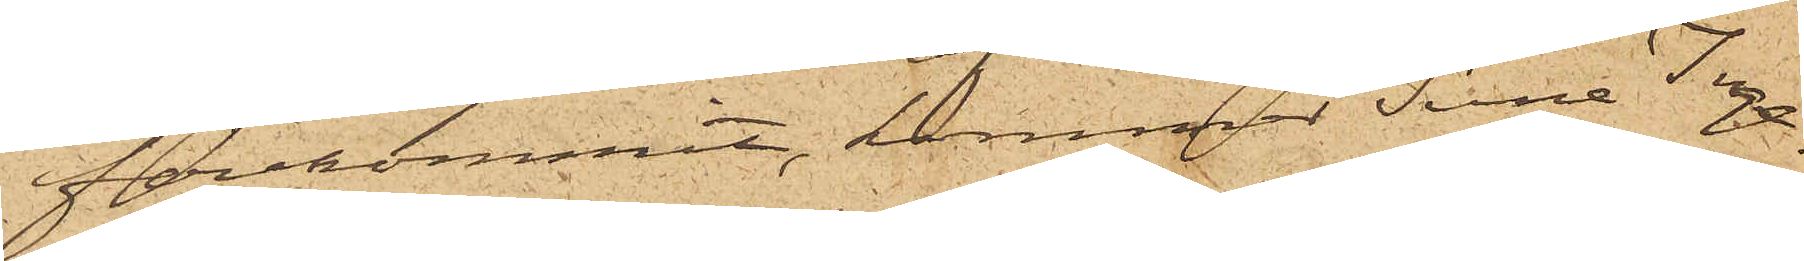förekommit, kommer Sune Inge¬
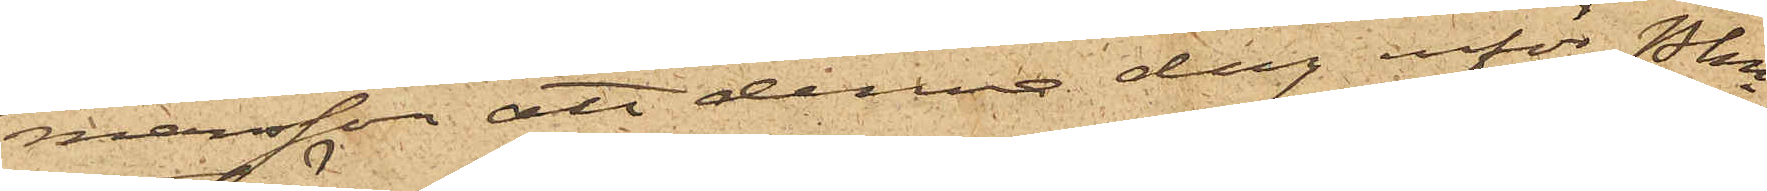mansson att denna dag inför Pkn
